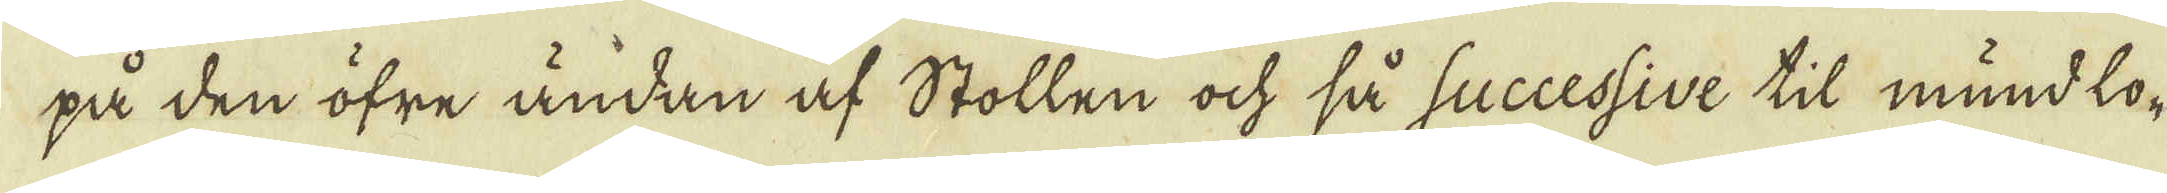på den öfre ändan af Stollen ock så successive til mund lo-
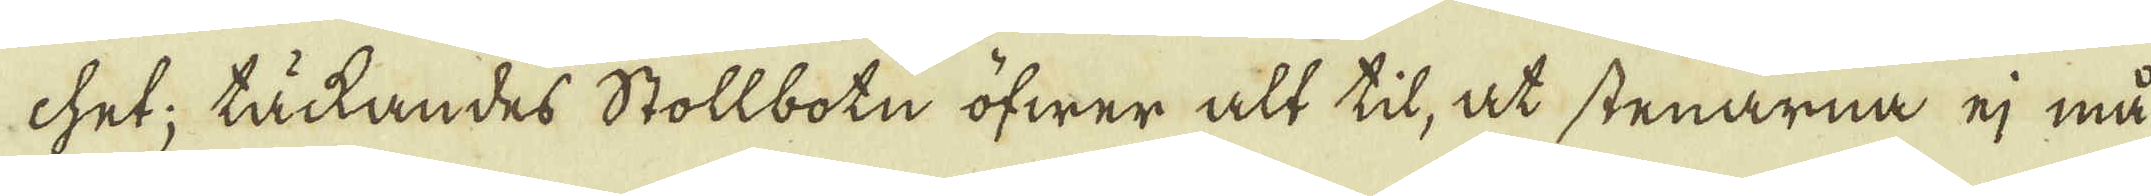chet; täkandes Stollbotn öfwer alt til, at stenarna ej må
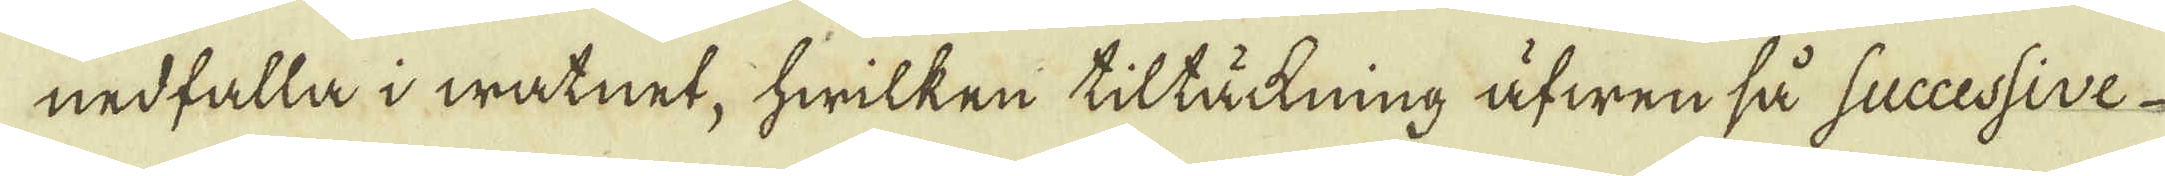nedfalla i watnet, hwilken tillättning äfwen så successive
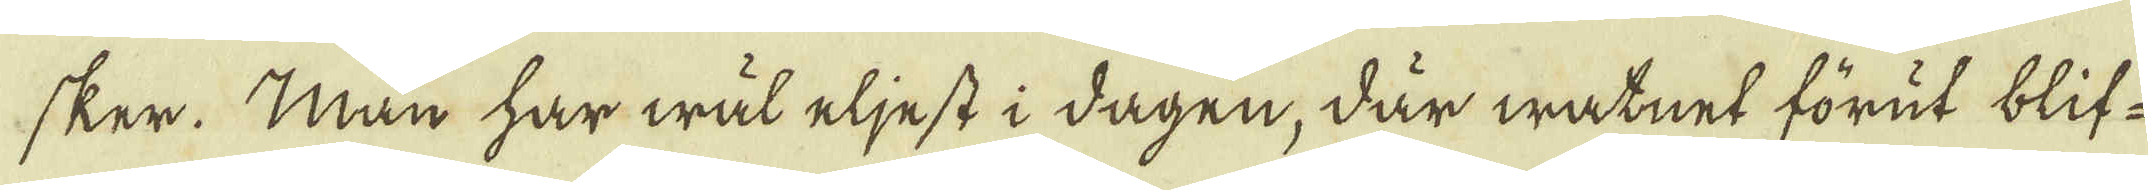sker. Man har wäl eljest i dagen, där watnet förut blif-
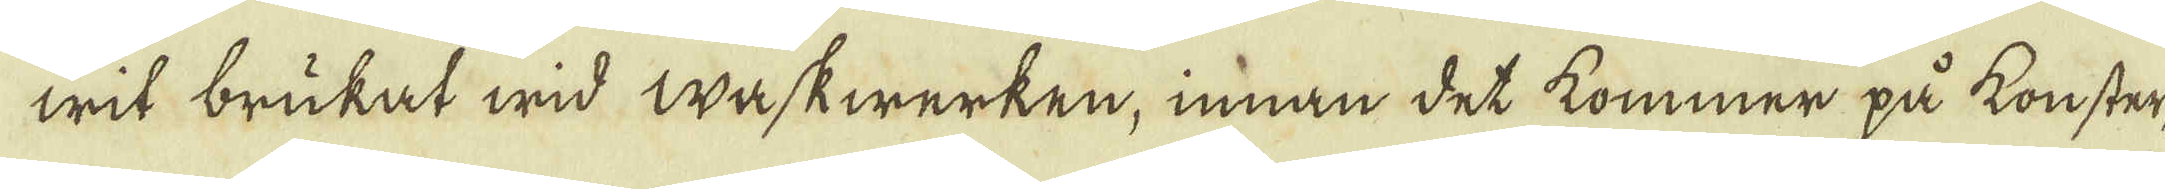wit brukat wid waskwerken, innan det kommer på konster-
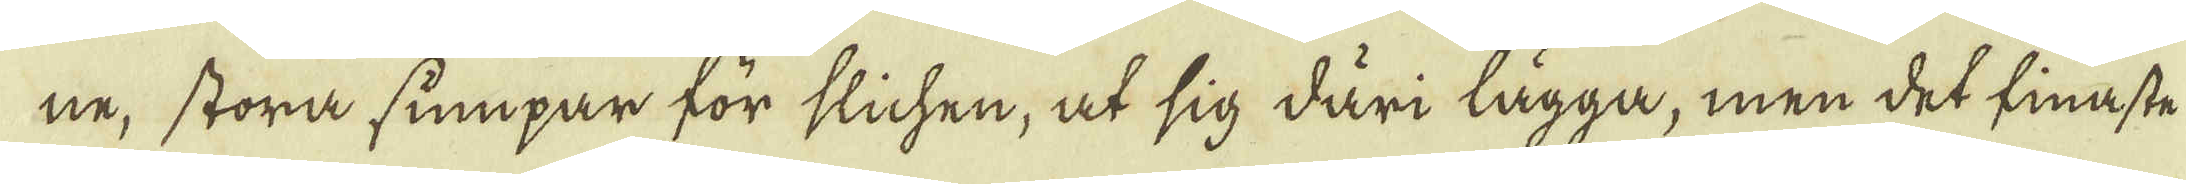ne, stora sumpar för slichen, at sig däri lägga, men det finaste
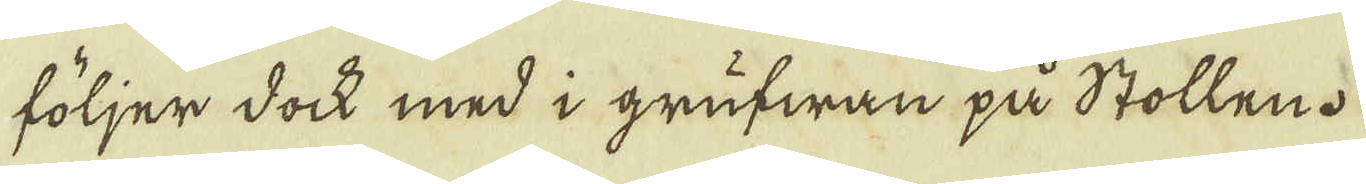följer dock med i grufwan på stollen.
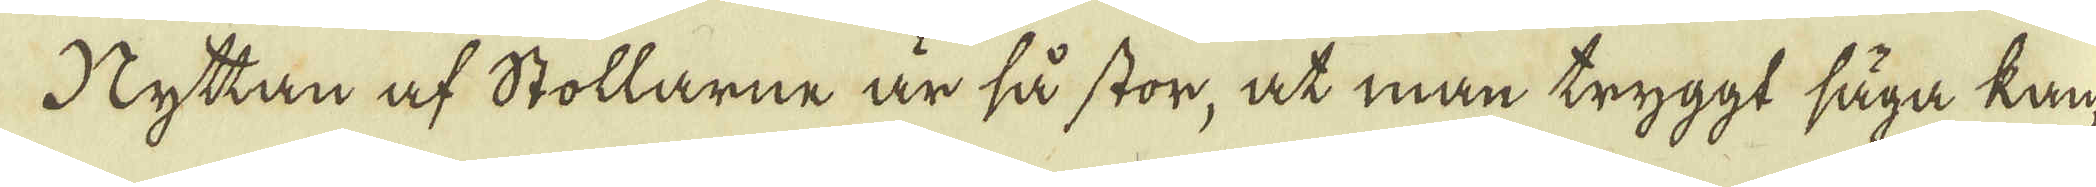Hyttan af Stollarne är så stor, at man tryggt säga kan, 
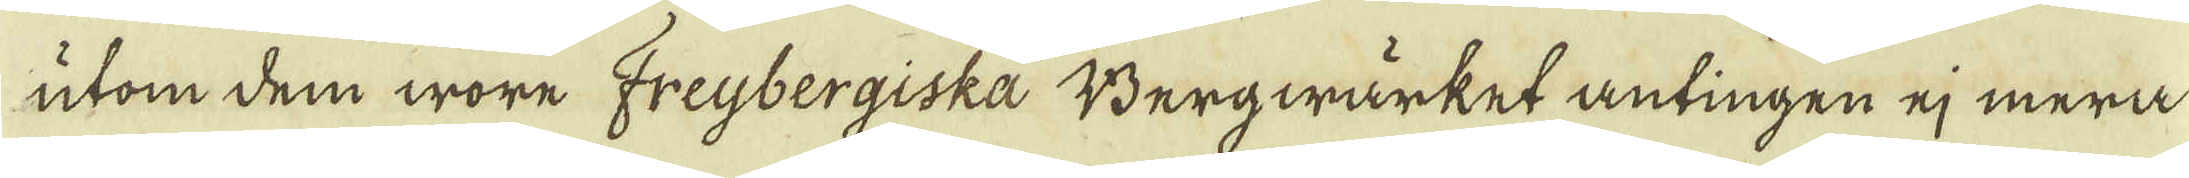utom dem wore Freijbergiska Bergwärket antingen ej mera
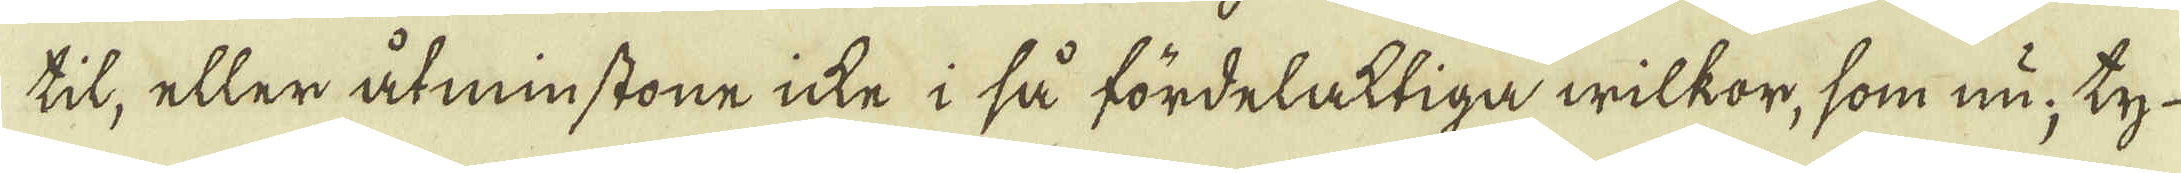til, eller åtminstone inte i så fördelaktiga wilkor, som nu; ty
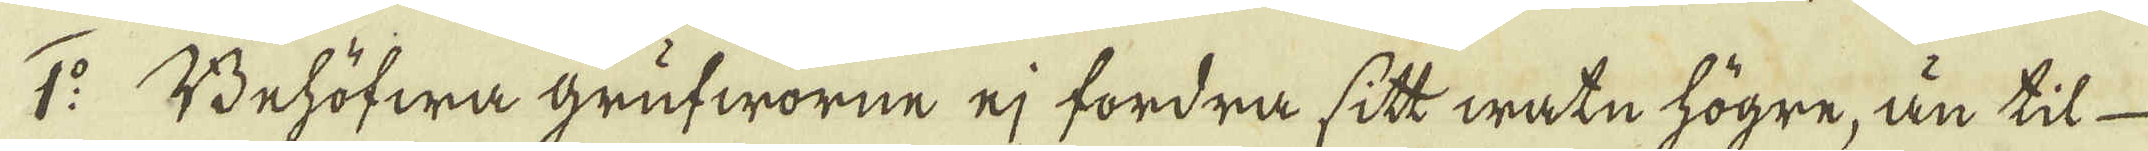1:o Behöfwa grufworne ej fordra sitt watn högre, än til
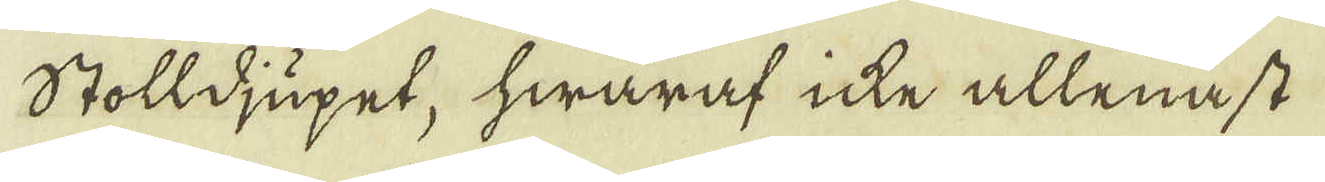Stolldjupet, hwaraf icte allenast
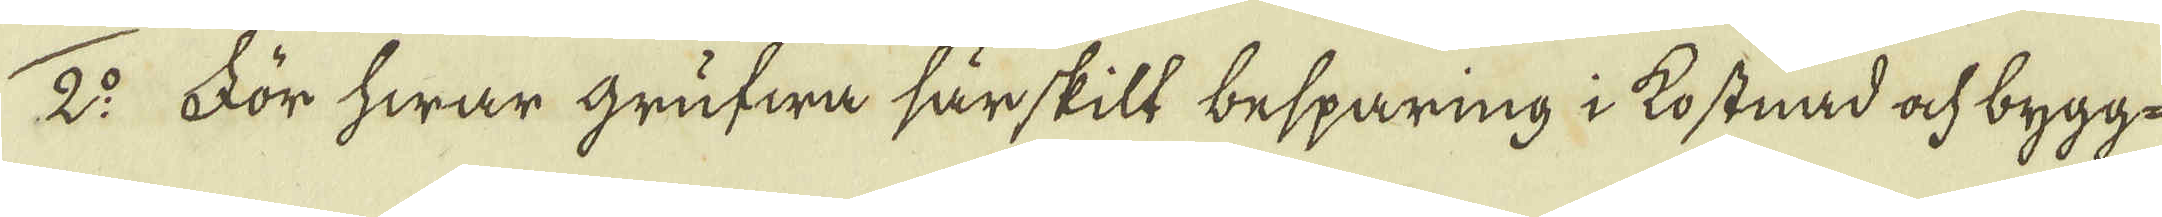2:o. För hwar grufwa särskill besparing i kostnad ock bygge
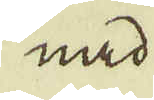med
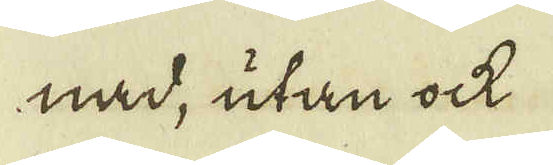med, utan ock
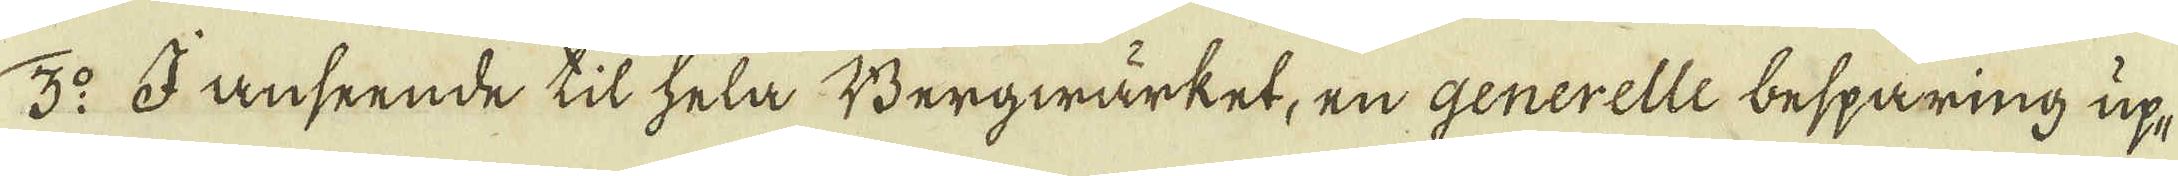3:o I anseende til hela Bergwärket, en generelle besparing up-
